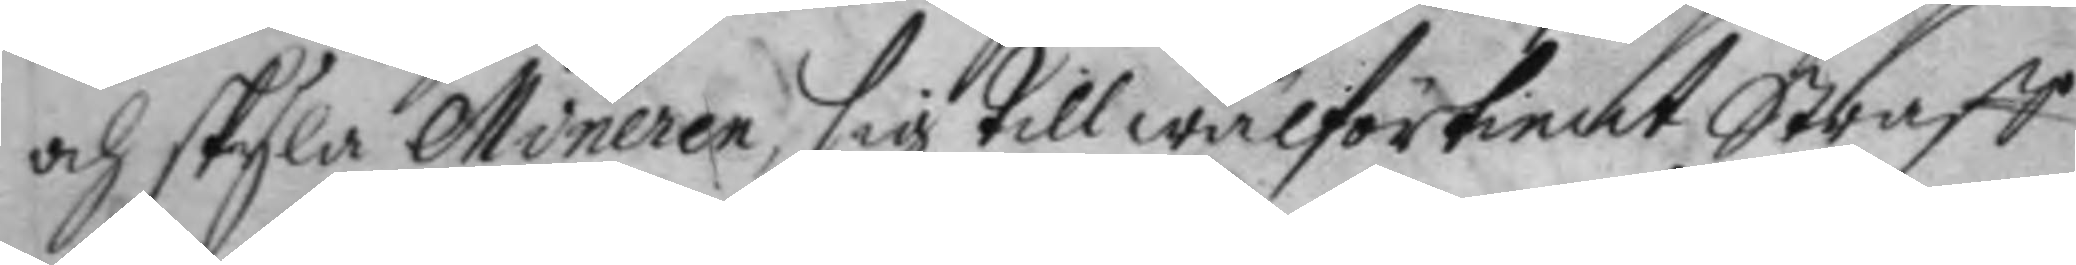och skyla Mineren sig till wälförtient Straff
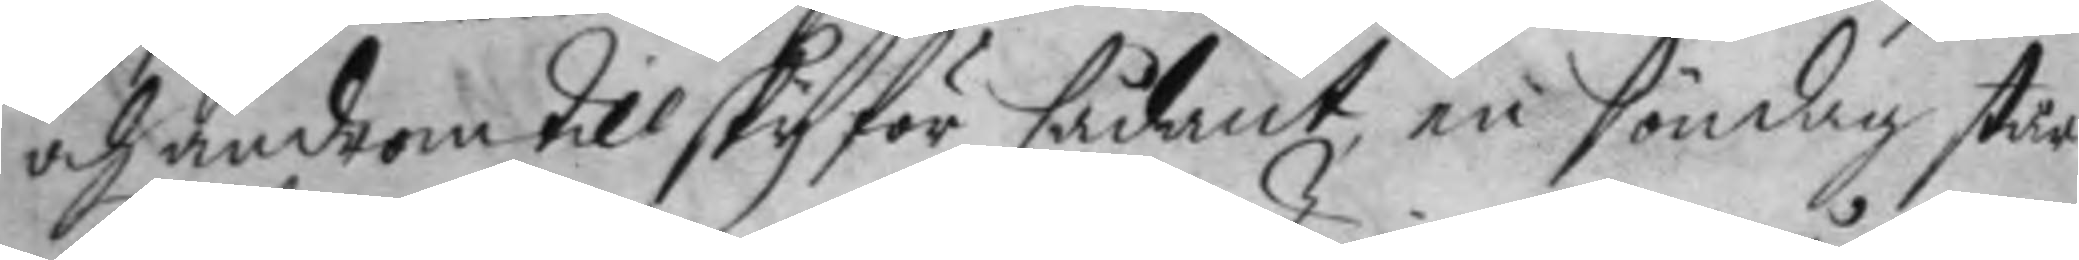och androm till skyl för sådant, en söndag står
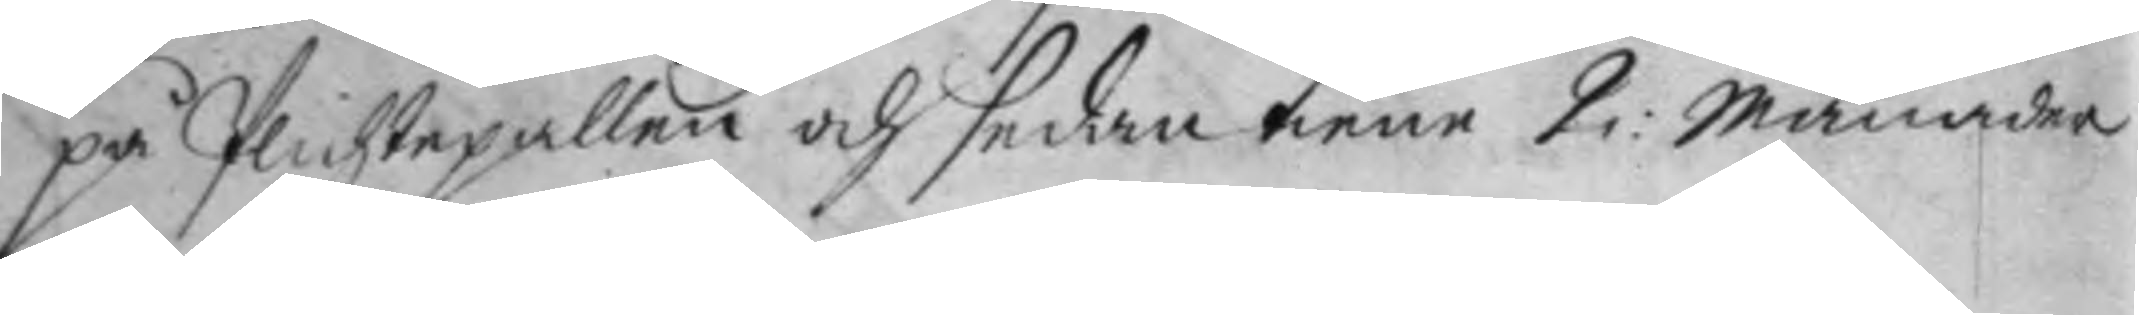på plichtepallen och sedan Tiene 2: månader
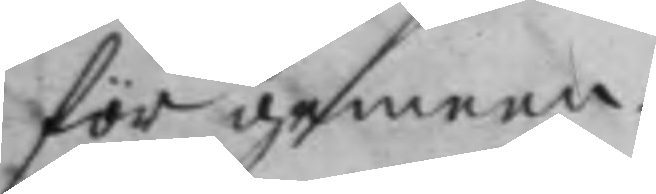för gemen:
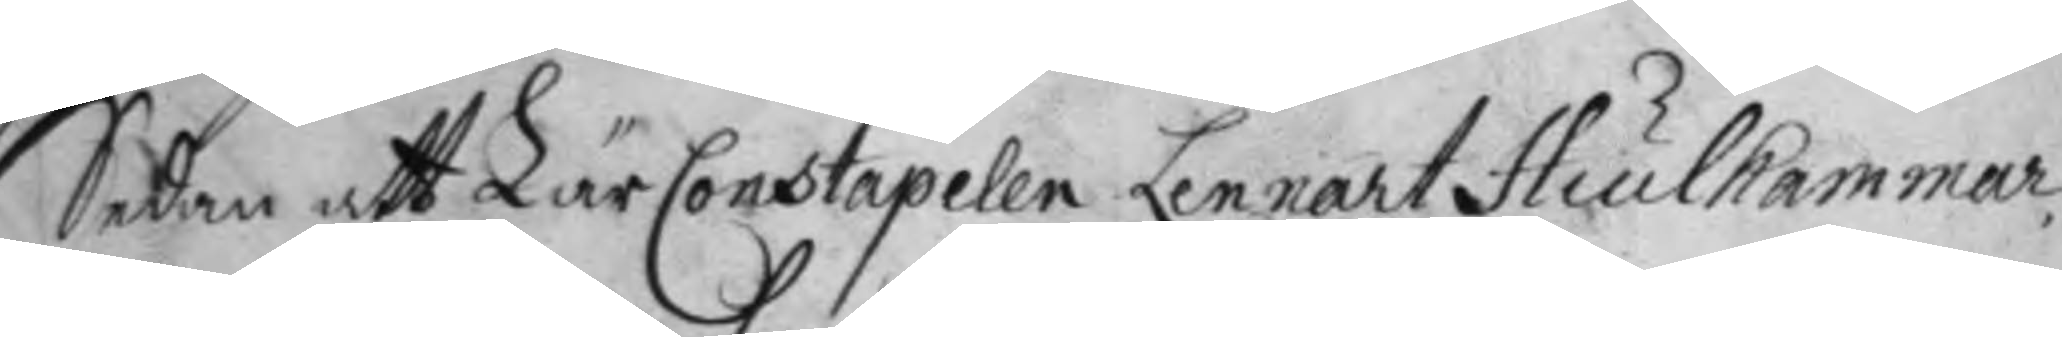Sedan att LäreConstapelen Lennart Hiulkammar
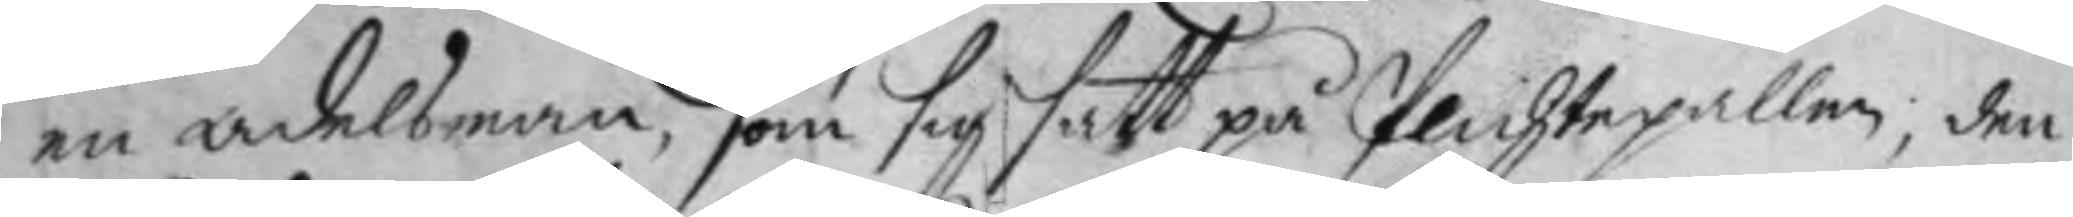en adelsman, som sig satt på plichtepallen, den
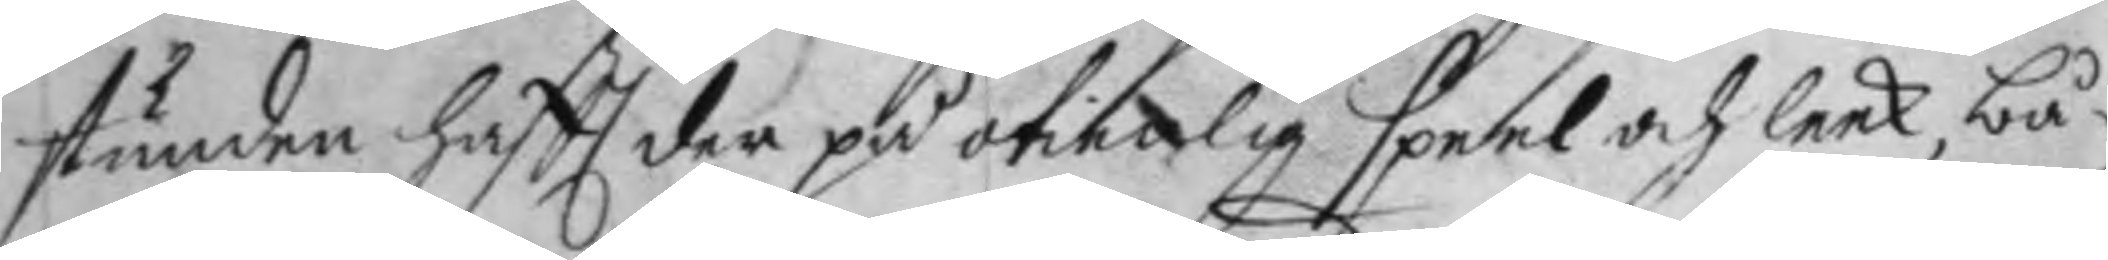stunden haftt der på otienlig speel och leek, bå¬
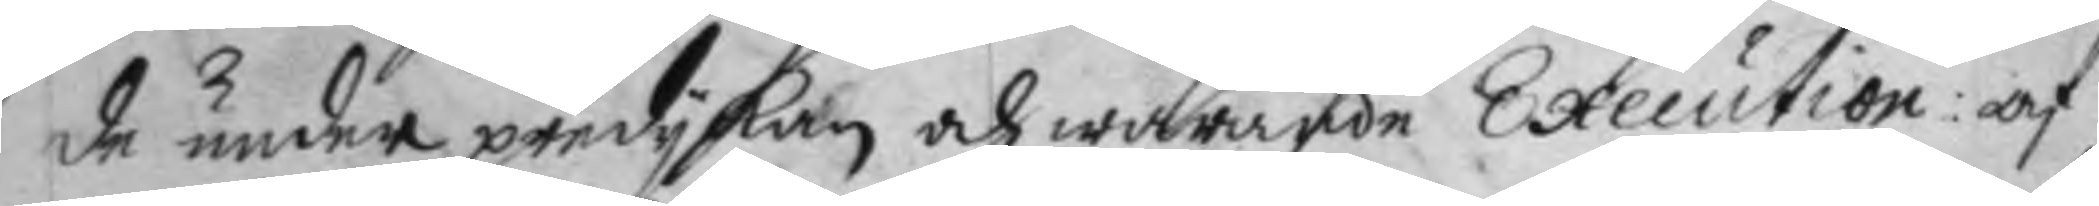de under predykan och warande Execution: af
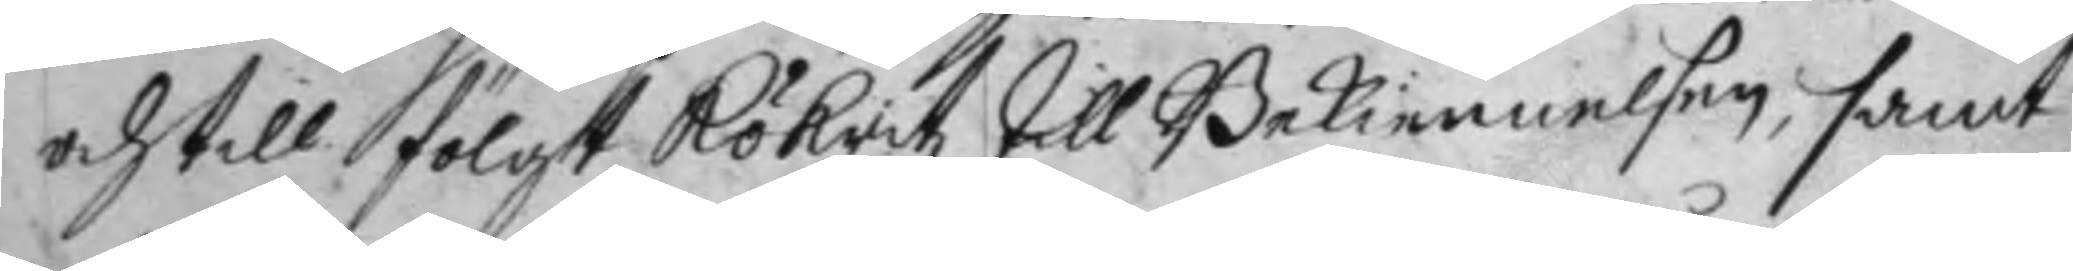och till fölgt Rökritz till Bekiennelsen, samt
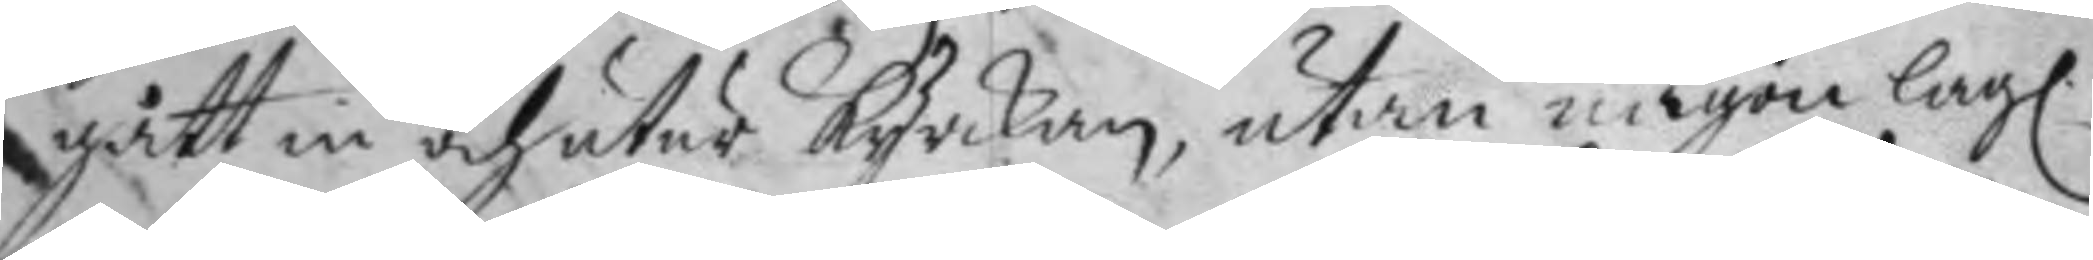gått in och utur kyrkan, utan någon lag.
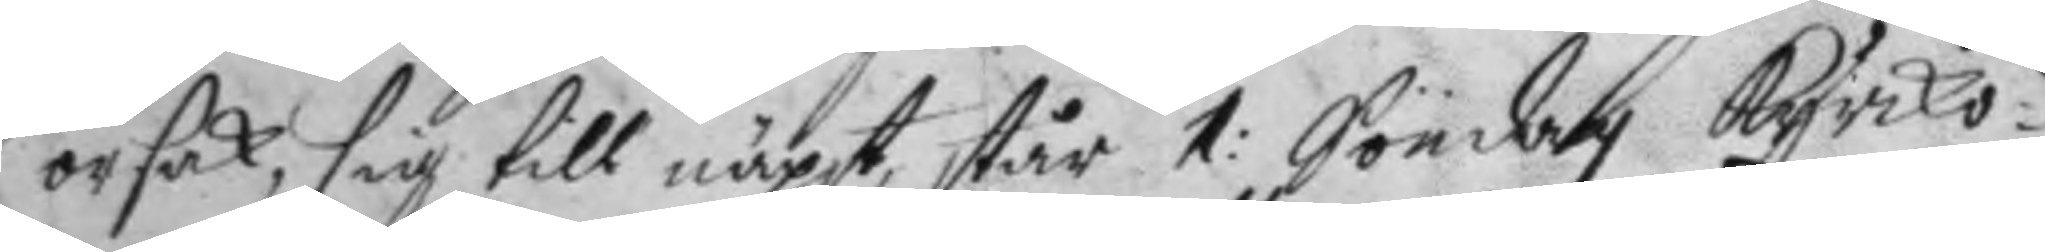orsak, sig till näpst står 1: Söndag kyrko¬
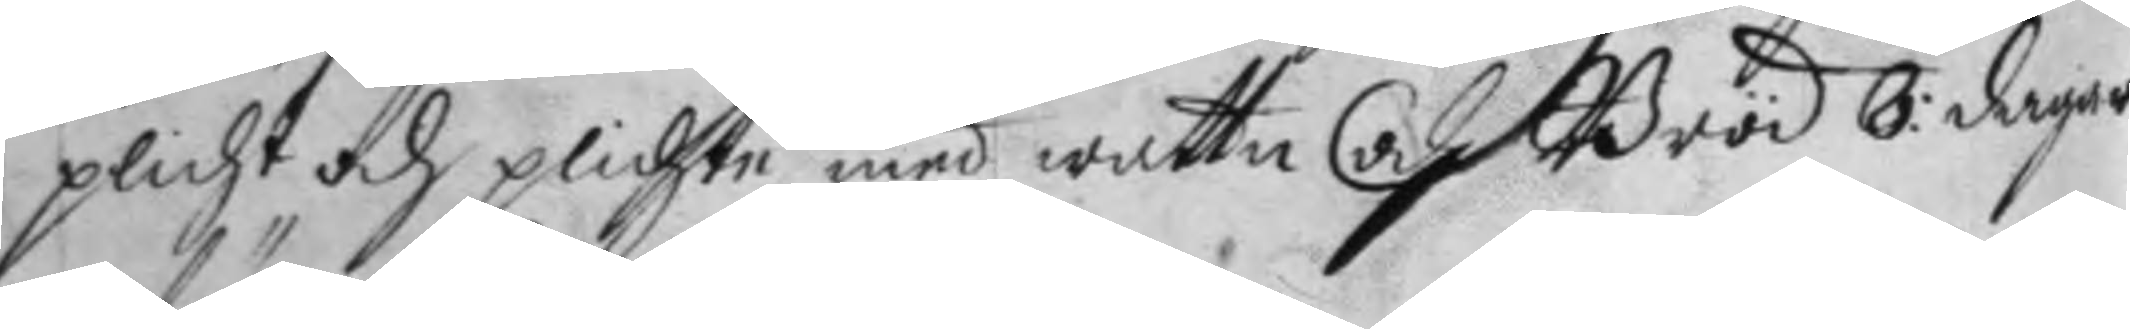plicht och plichta med wattn och Bröd 8: dagar
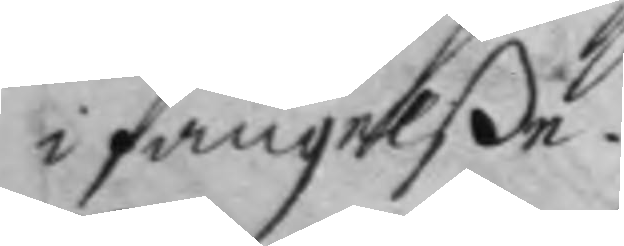i fängelße.
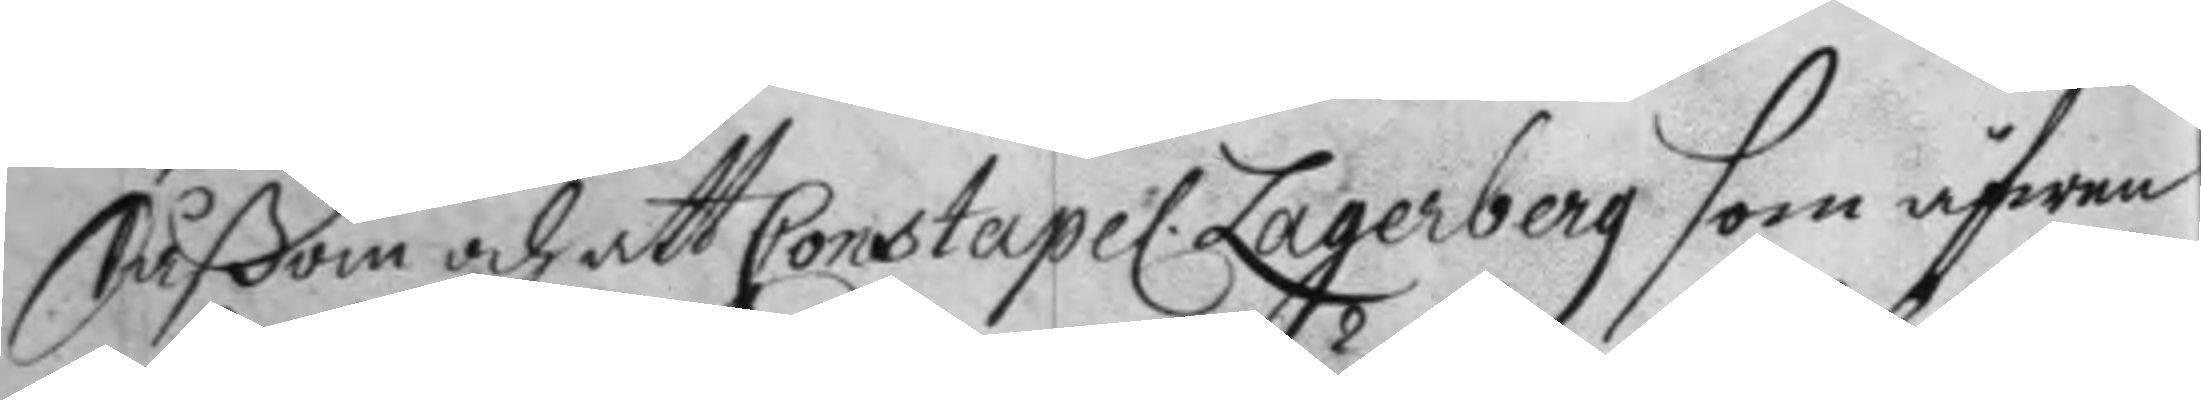Såßom och att Constapel Lagerberg som äfwen
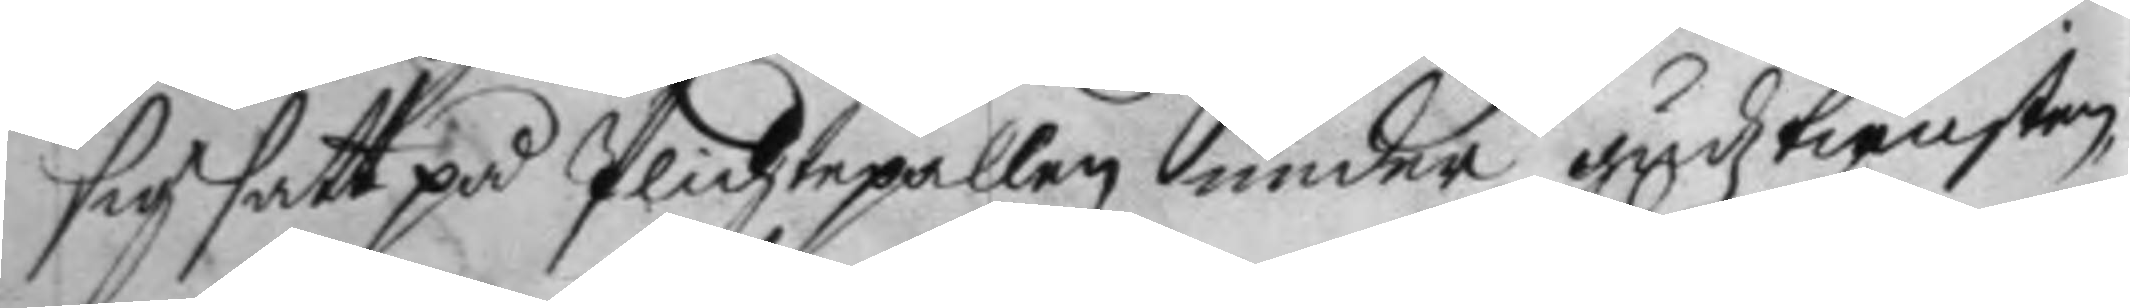sig satt på Plichtepallen under gudztiensten,
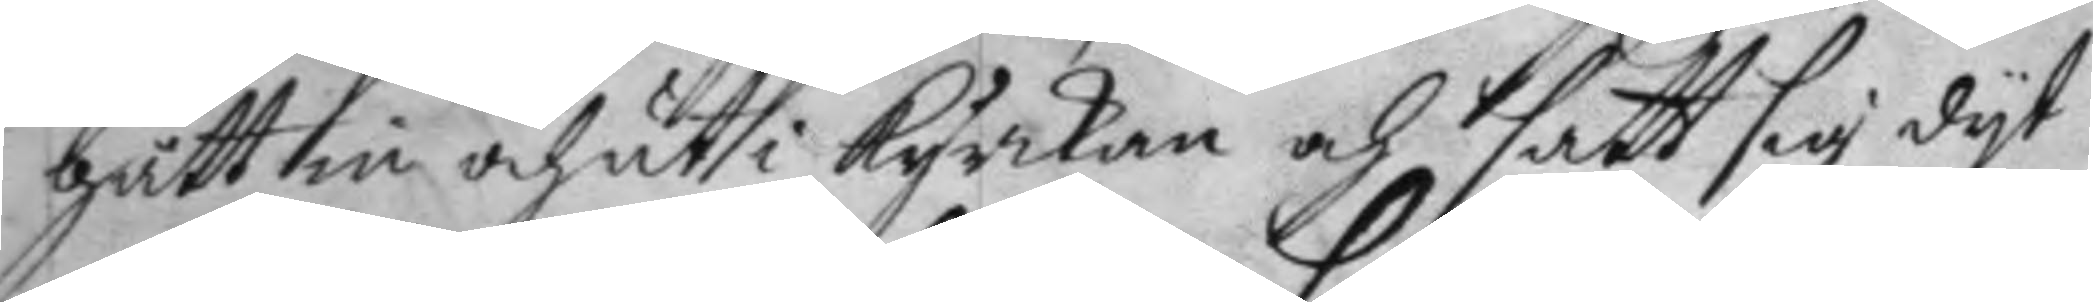gått in och ut i kyrkan och satt sig dyt
